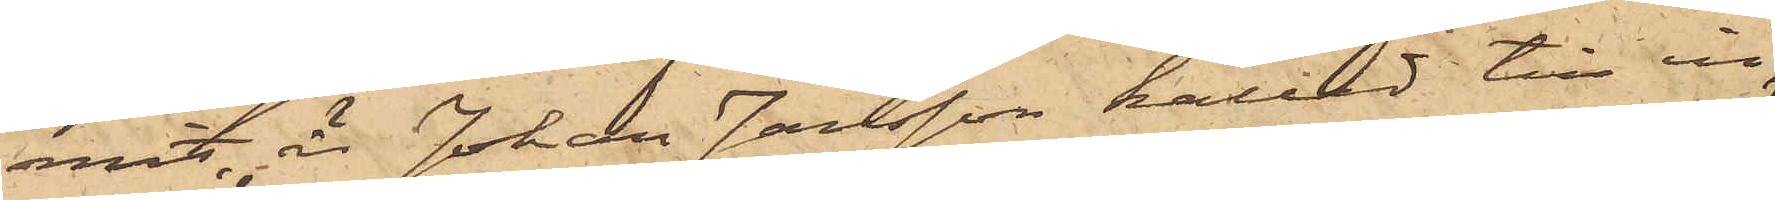mit, är Johan Jansson kallad till in¬
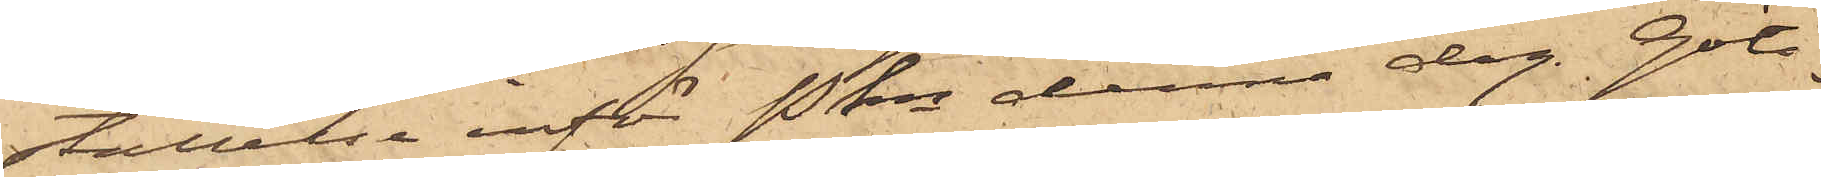ställelse inför Pkn denna dag. Göte¬
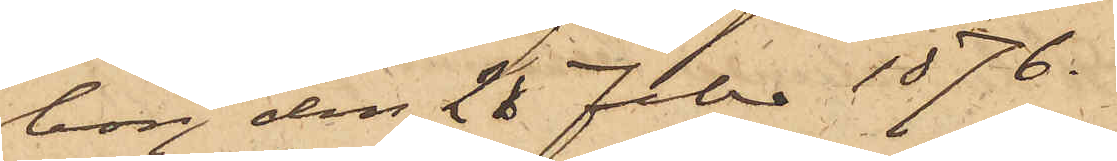borg den 26 Febr 1876.
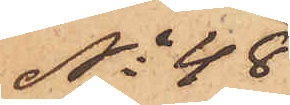No 48
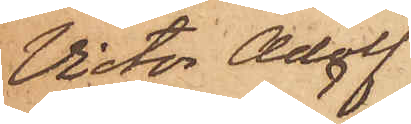Victor Adolf
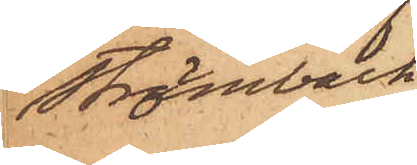Strömbäck
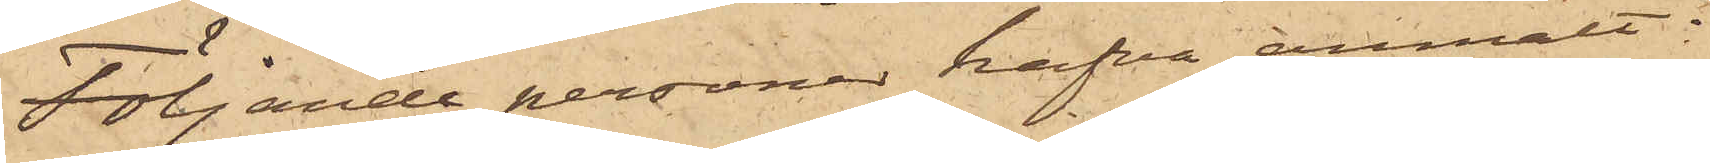Följande personer hafva anmält:
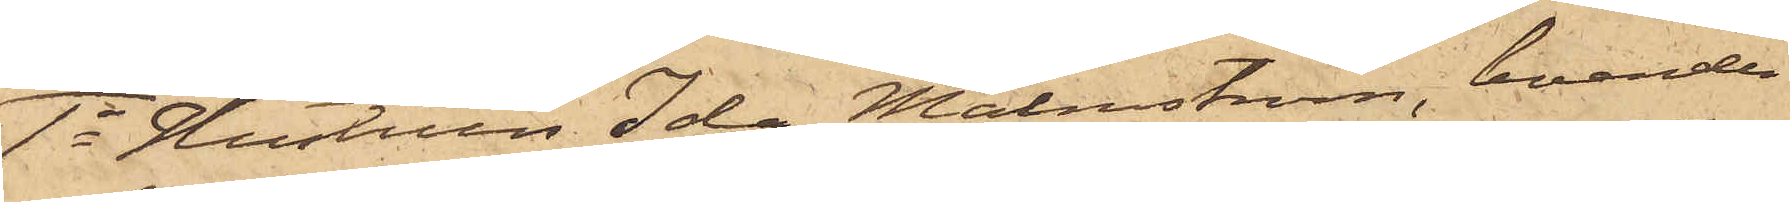1o Hustrun Ida Malmström, boende
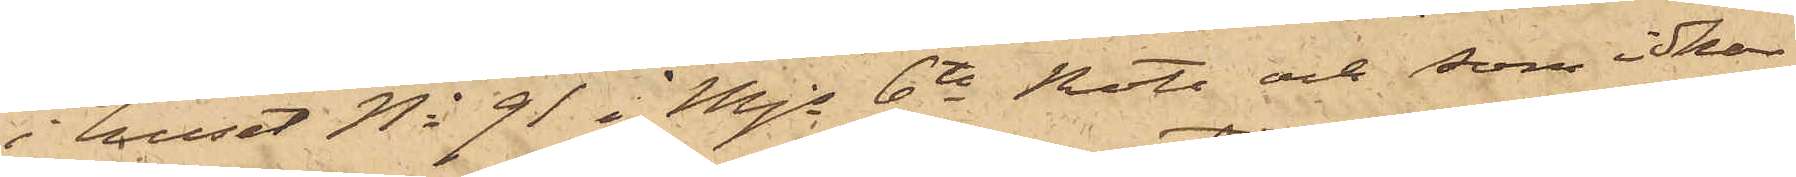i huset No 91 i Mjs 6te Rote och som idkar
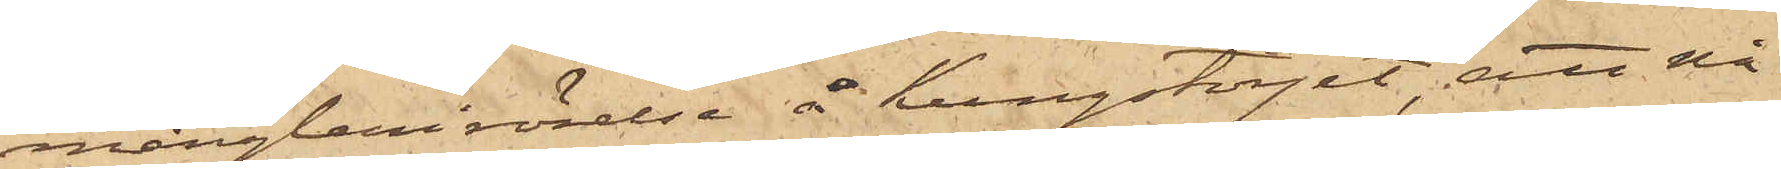månglerirörelse å Kungstorget, att nå¬
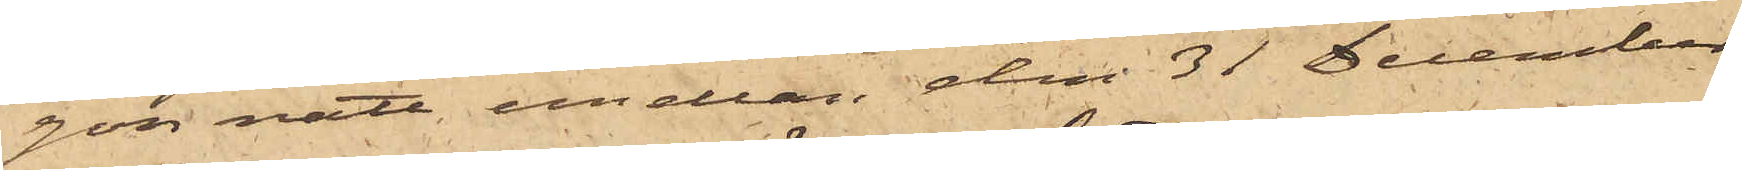gon natt emellan den 31 December
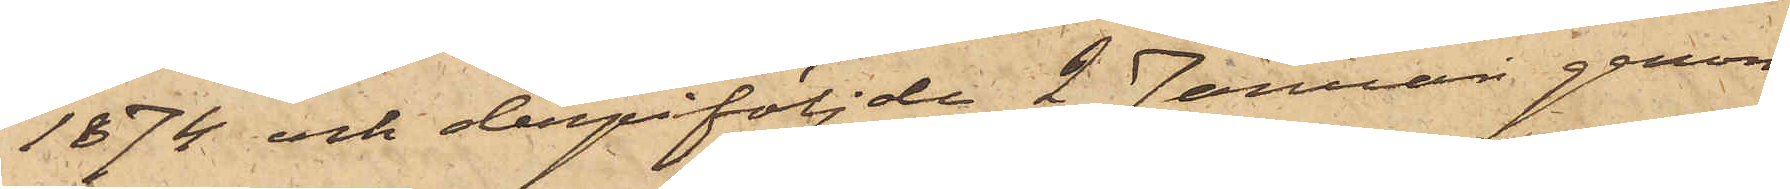1874 och derpåföljde 2 Januari genom
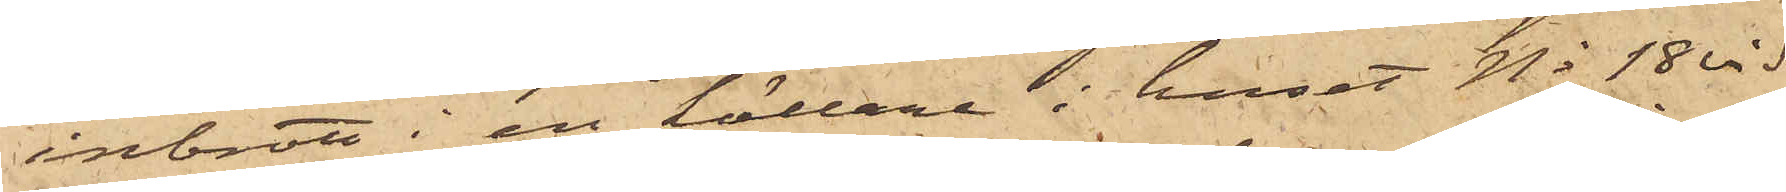inbrott i en källare i huset No 18 vid
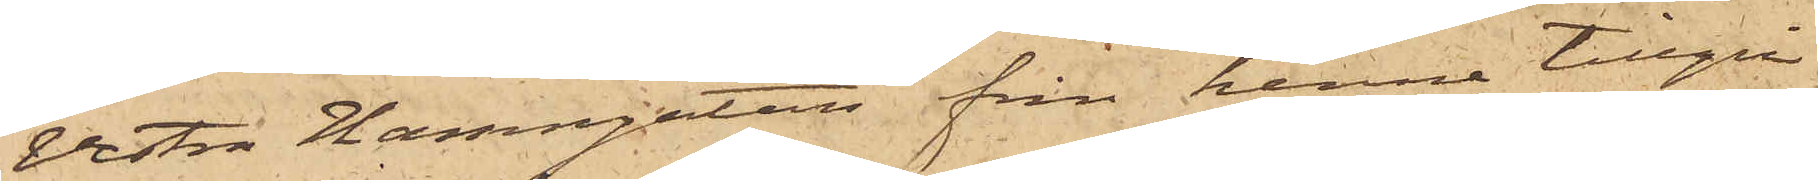Vestra Hamngatan från henne tillgri¬
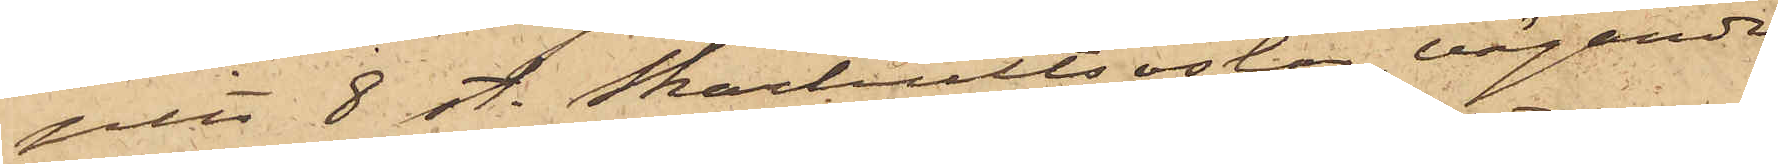pits 8 st. Skarhultsostar, vägande
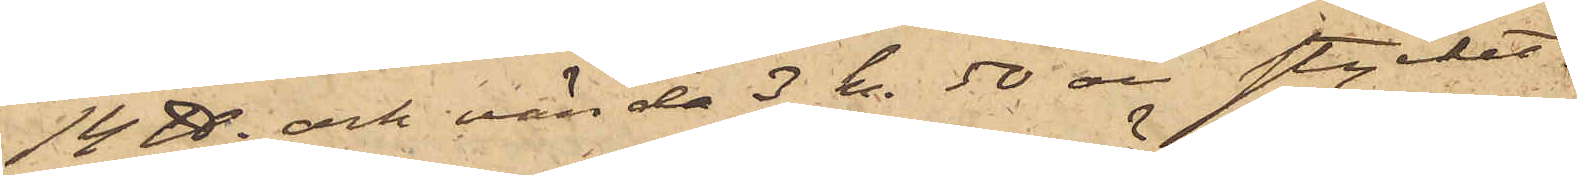14 ℔ och värda 3 kr 50 öre stycket;
